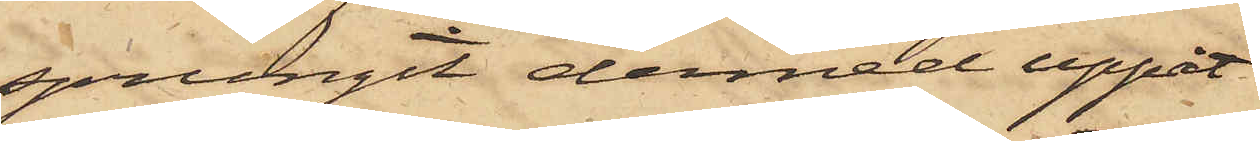sprungit dermed uppåt
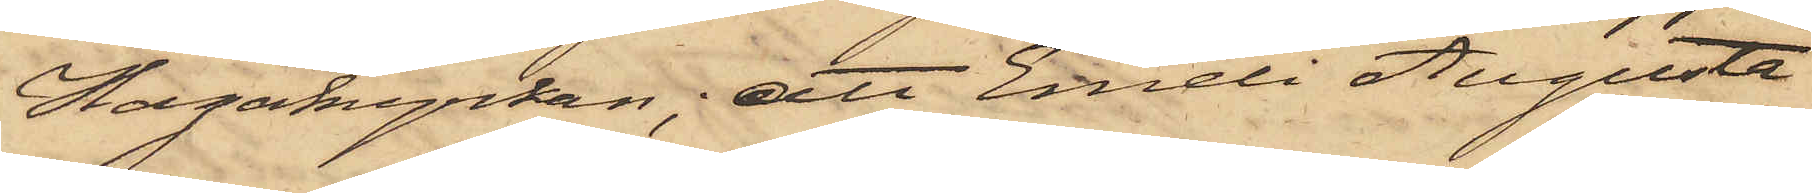Hagakyrkan; att Emeli Augusta
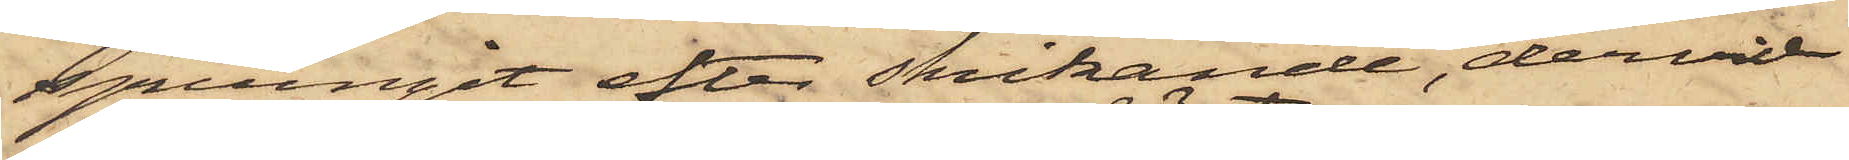sprungit efter skrikande, dervid
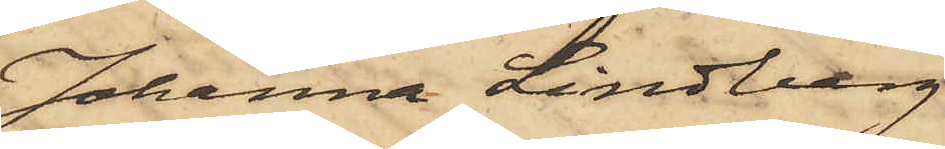Johanna Lindberg
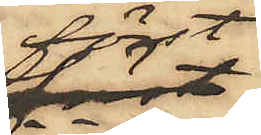först
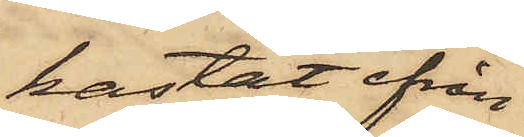kastat ifrån
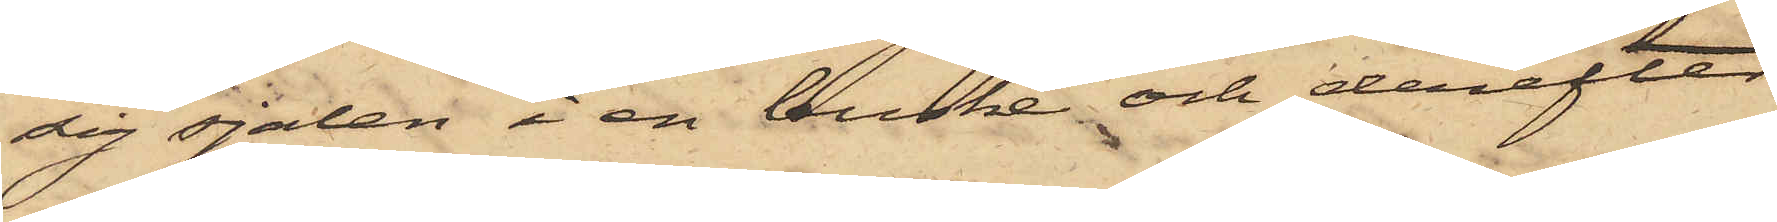sig sjalen i en buske och derefter
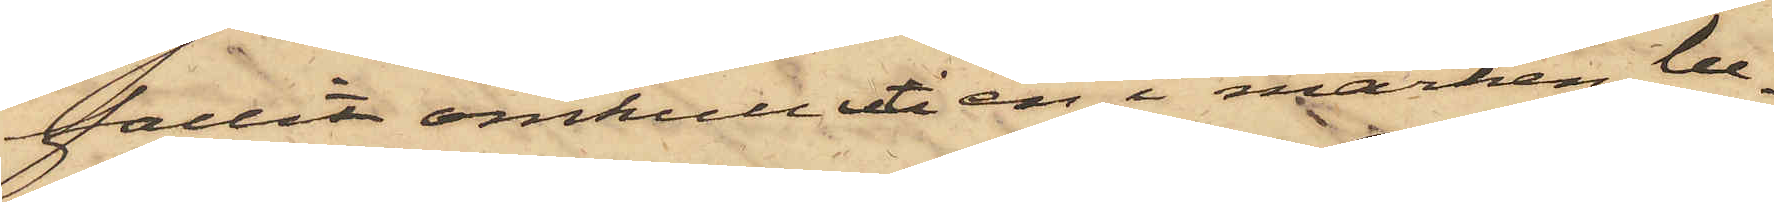fallit omkull uti en i marken be¬
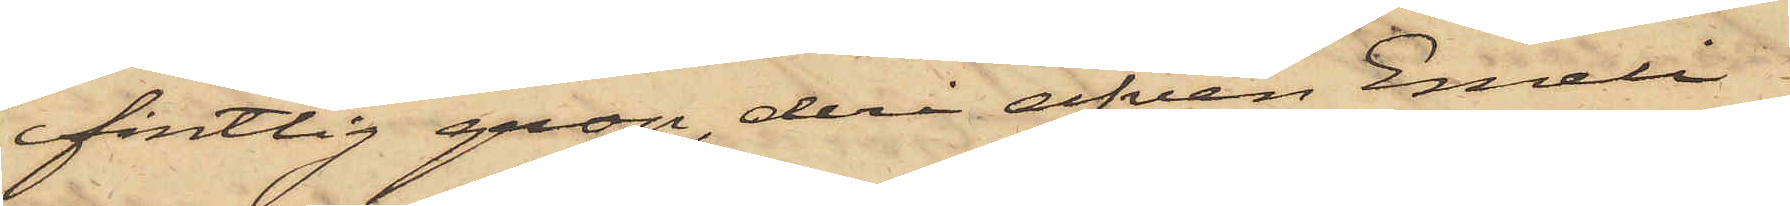fintlig grop, deri äfven Emeli
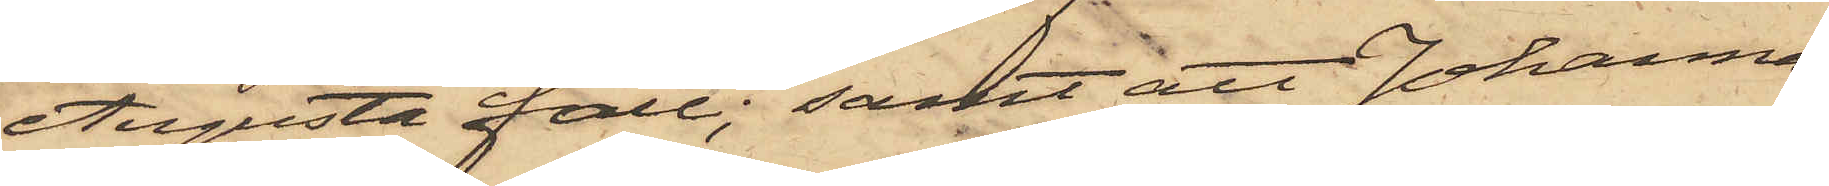Augusta föll; samt att Johanna
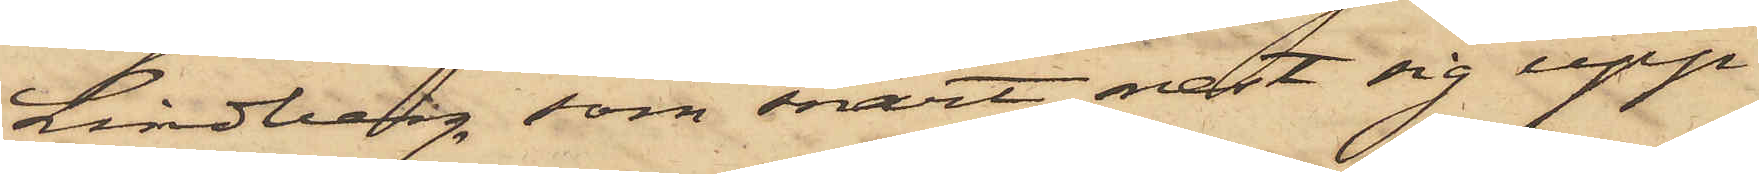Lindberg, som snart rest sig upp
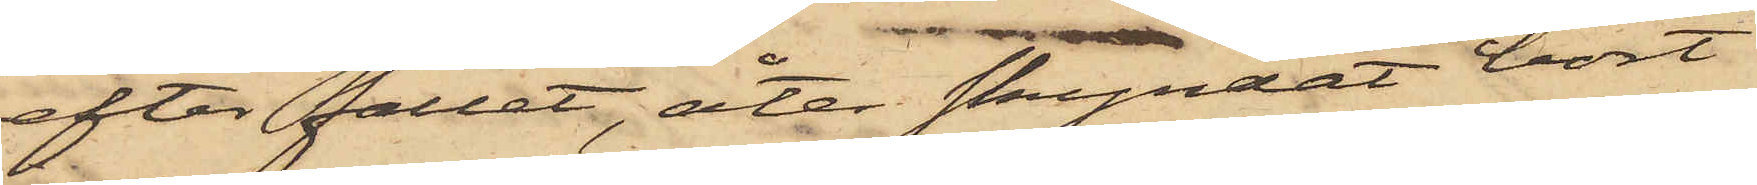efter fallet, åter skyndat bort
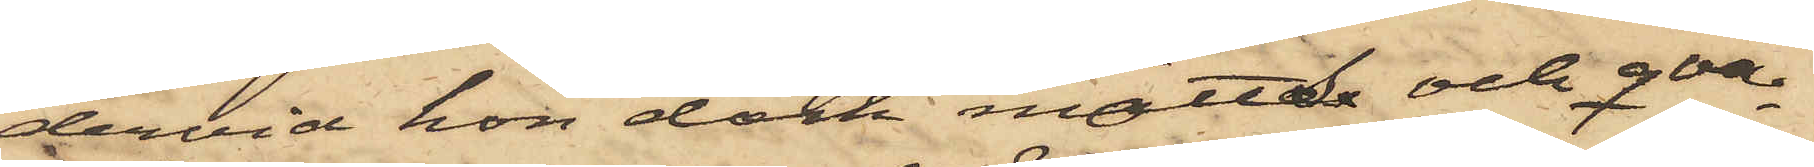dervid hon dock mötts och qvar¬
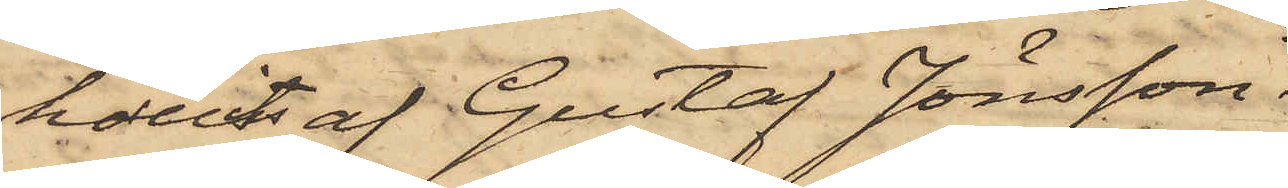hållits af Gustaf Jönsson.
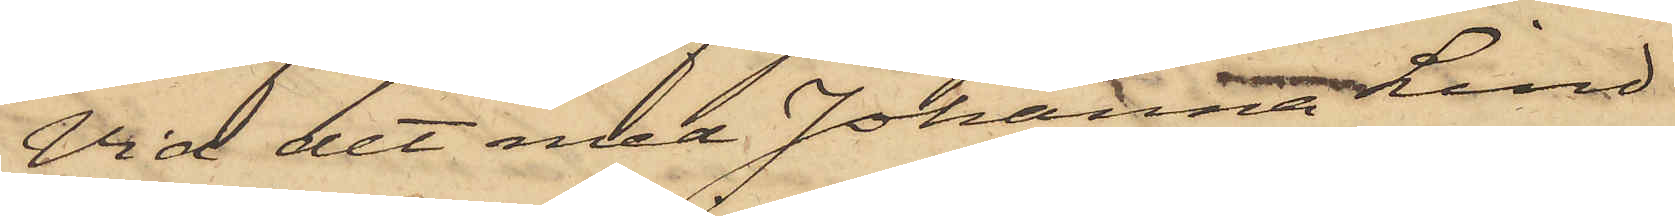Vid det med Johanna Lind¬
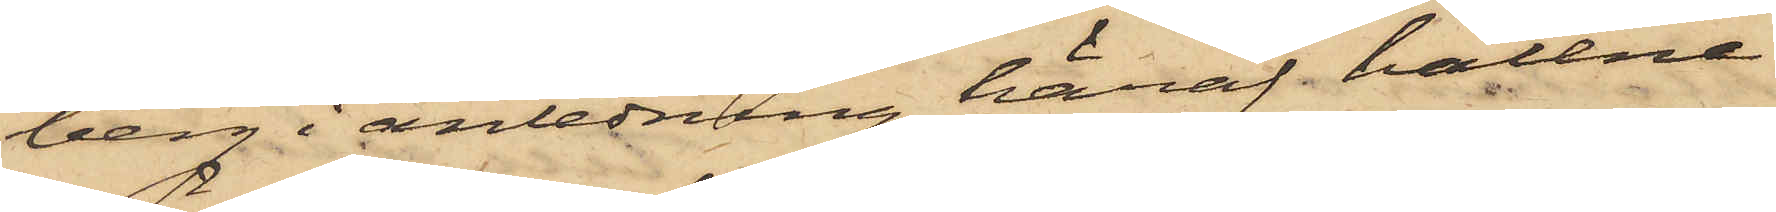berg i anledning häraf hållne
